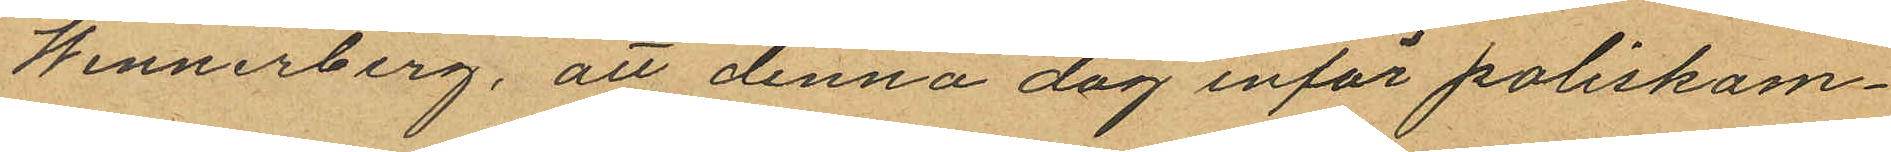Wennerberg, att denna dag inför poliskam¬
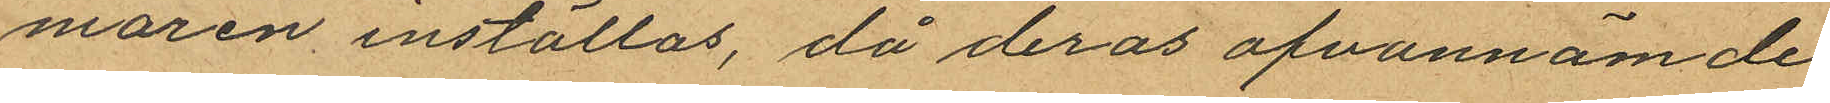maren inställas, då deras ofvannämde
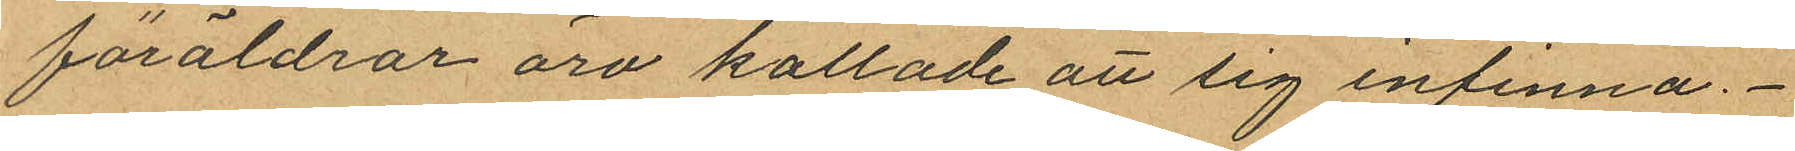föräldrar äro kallade att sig infinna.
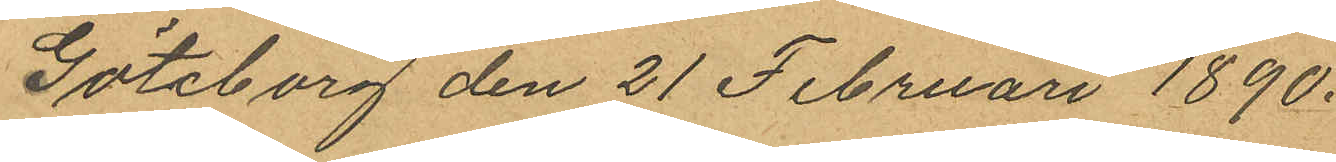Göteborg den 21 Februari 1890.
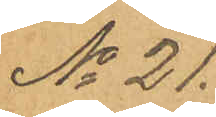No 21.
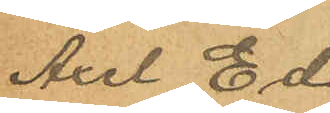Axel Ed¬
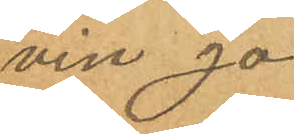vin Jo¬
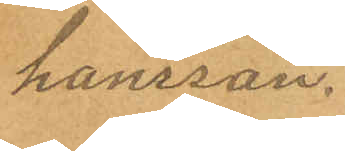hansson.
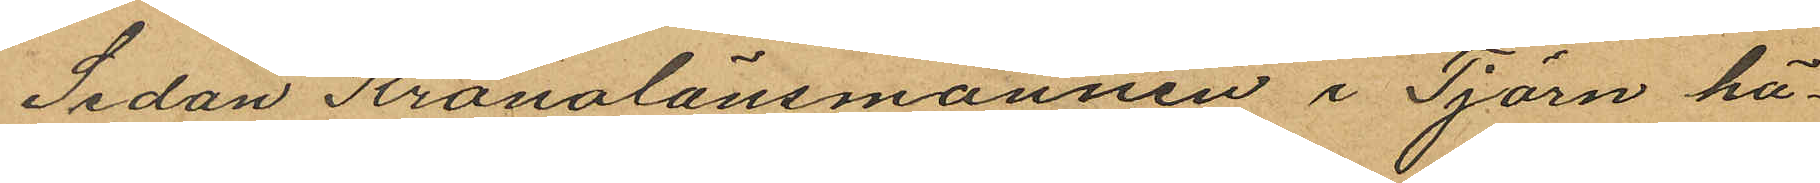Sedan Kronolänsmannen i Tjörn hä¬
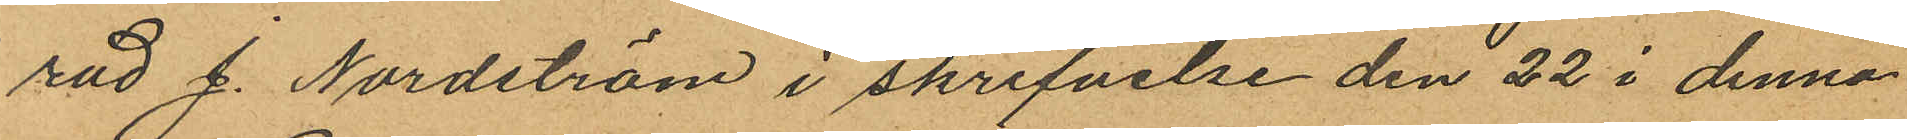rad J. Nordström i skrifvelse den 22 i denna
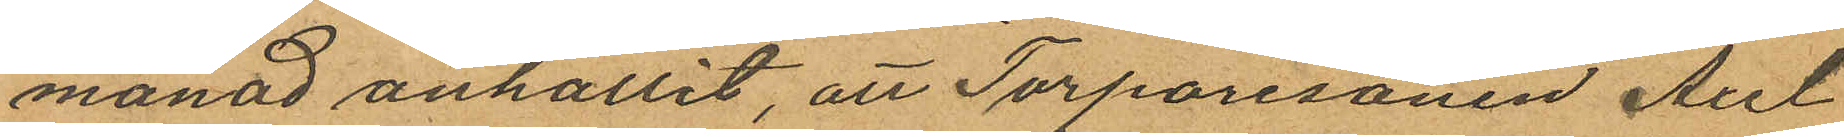månad anhållit, att Torparesonen Axel
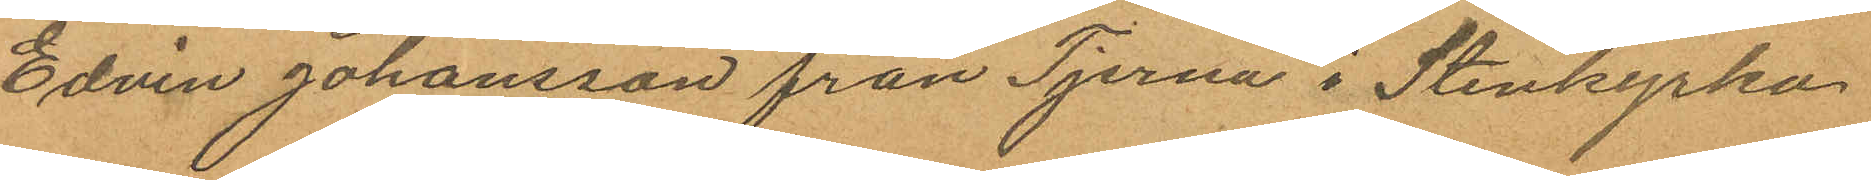Edvin Johansson från Tjerna i Stenkyrka
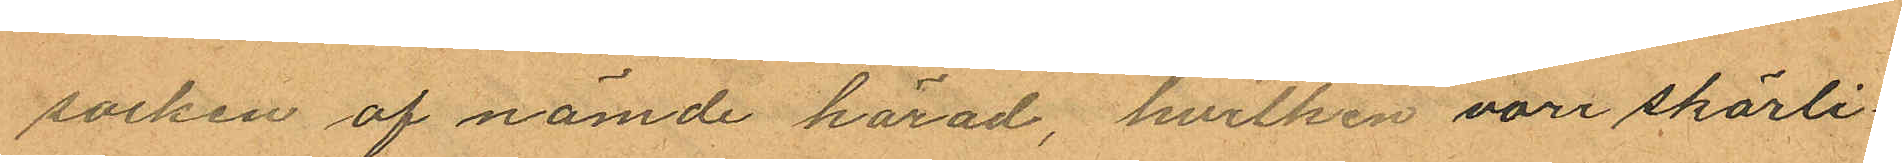socken af nämde härad, hvilken vore skärli¬
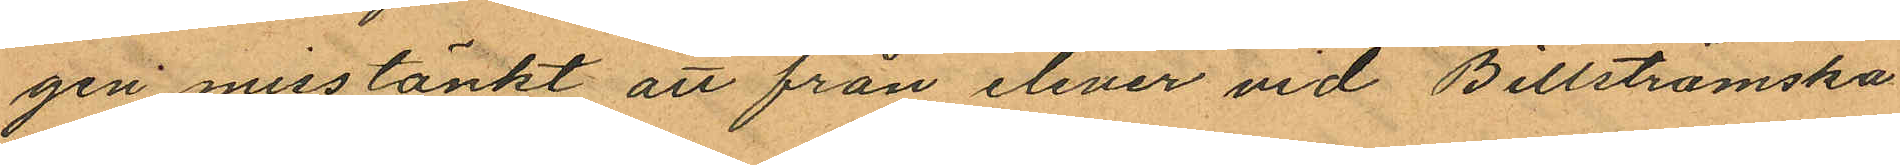gen misstänkt att från elever vid Billströmska
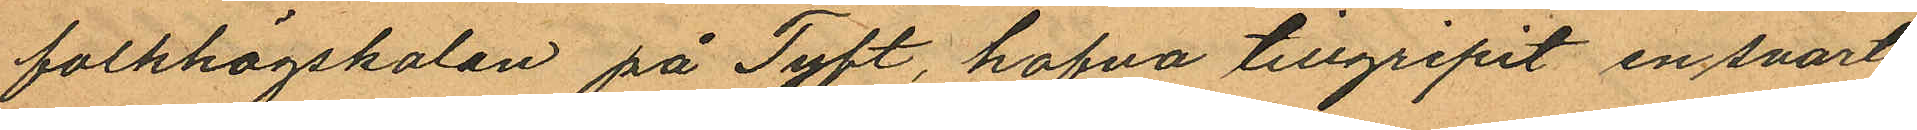folkhögskolan på Tyft, hafva tillgripit en svart
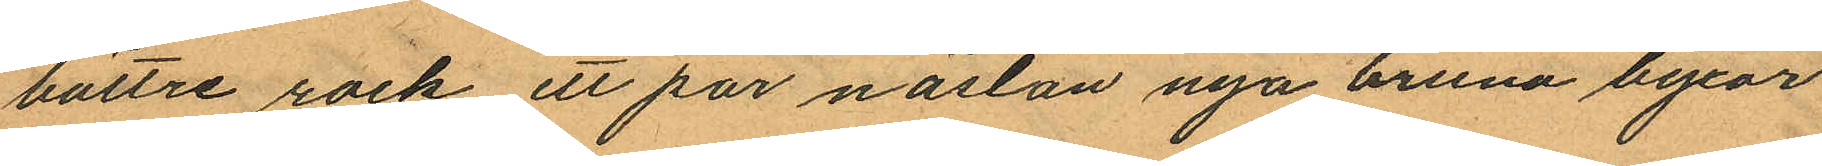bättre rock ett par nästan nya bruna byxor
